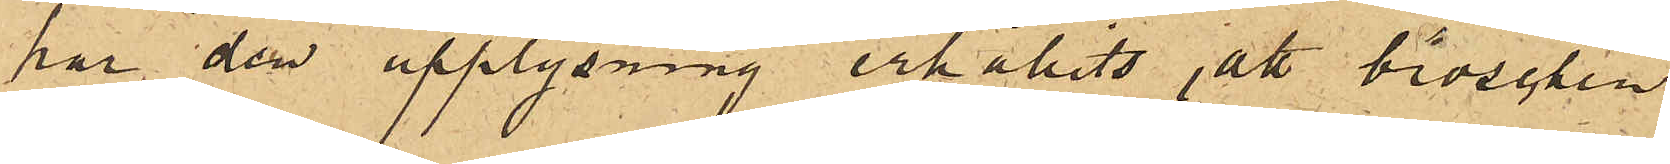har den upplysning erhållits, att broschen
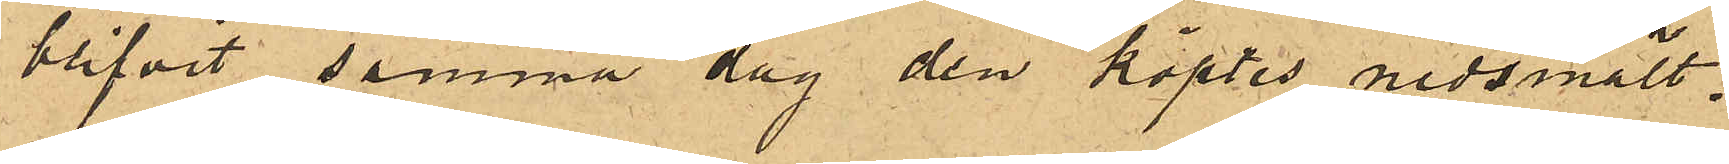blifvit samma dag den köptes nedsmält.
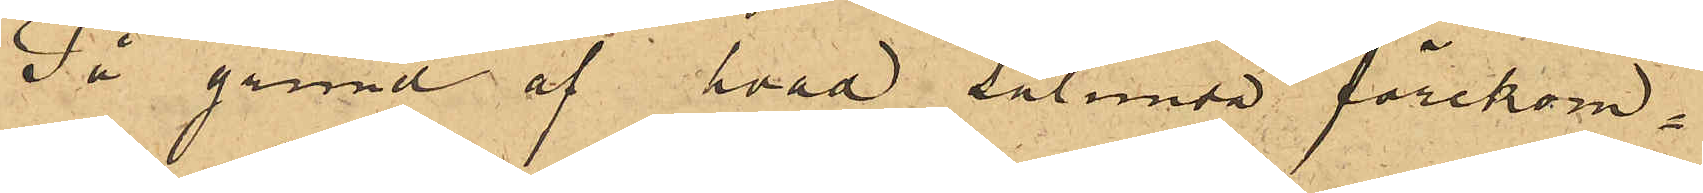På grund af hvad sålunda förekom¬
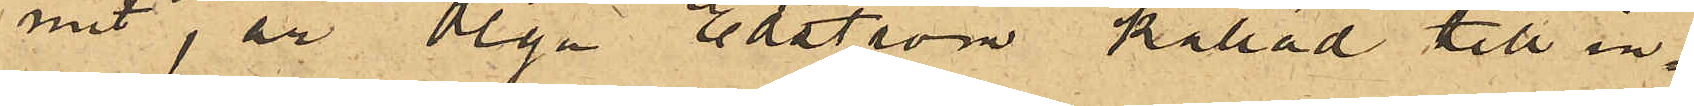mit, är Olga Edström kallad till in¬
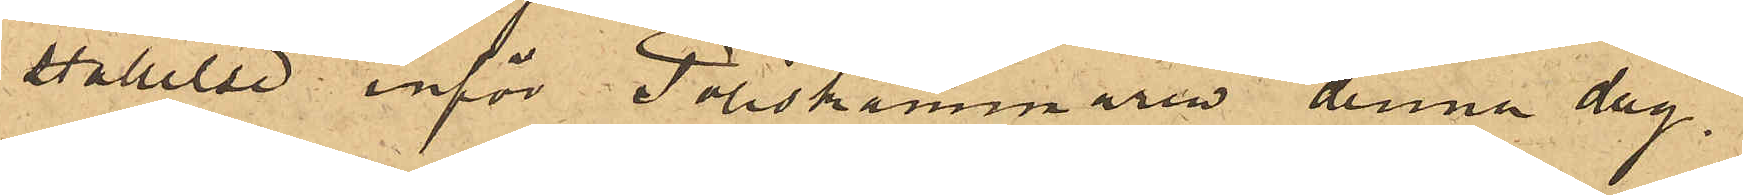ställelse inför Poliskammaren denna dag.
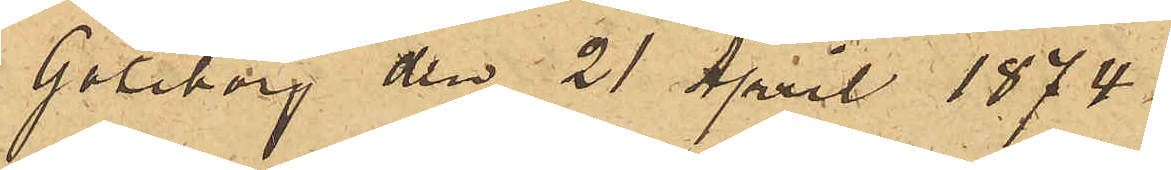Göteborg den 21 April 1874.
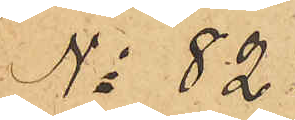No 82.
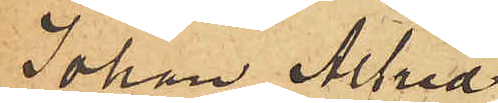Johan Alfred
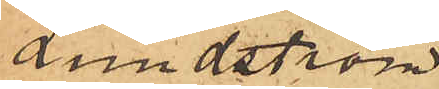Lundström.
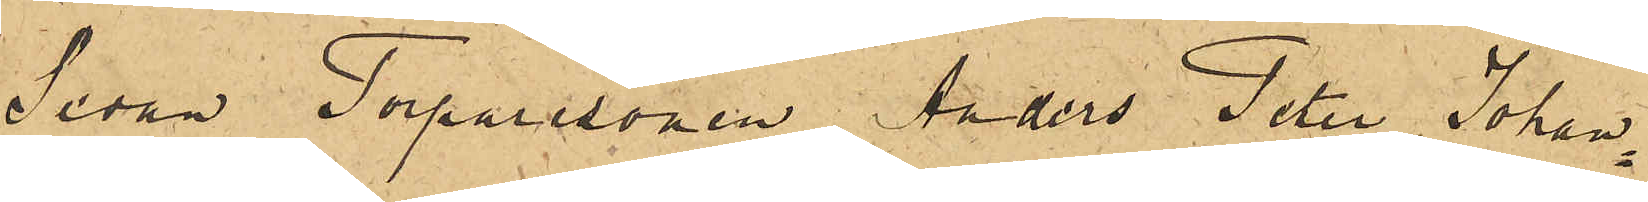Sedan Torparesonen Anders Peter Johan¬
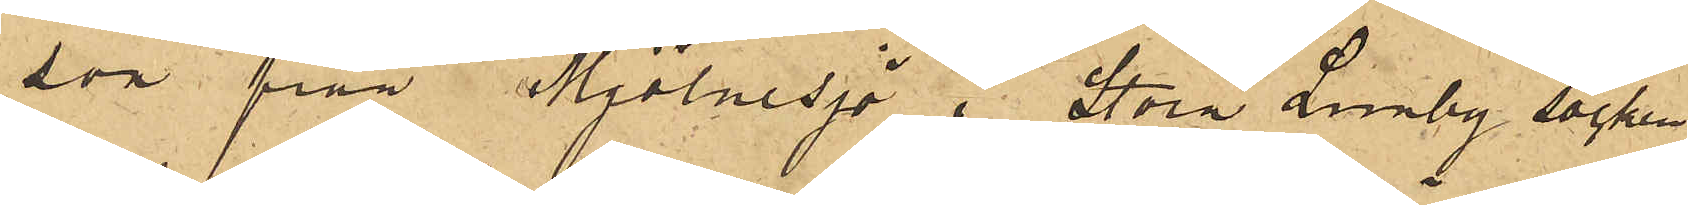son från Mjölnesjö i Stora Lundby socken
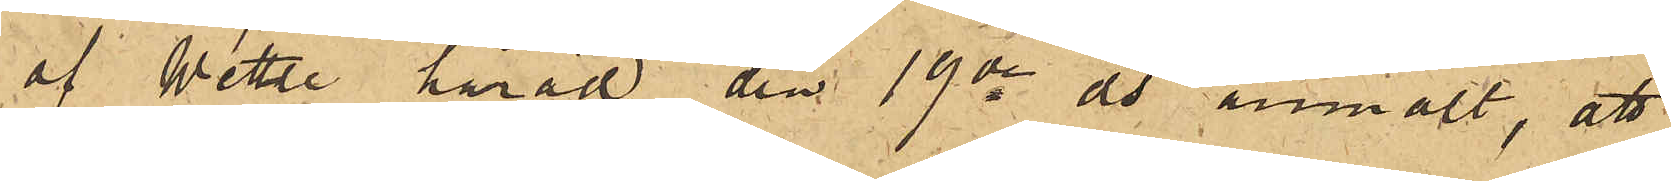af Wettle härad den 19de ds anmält, att
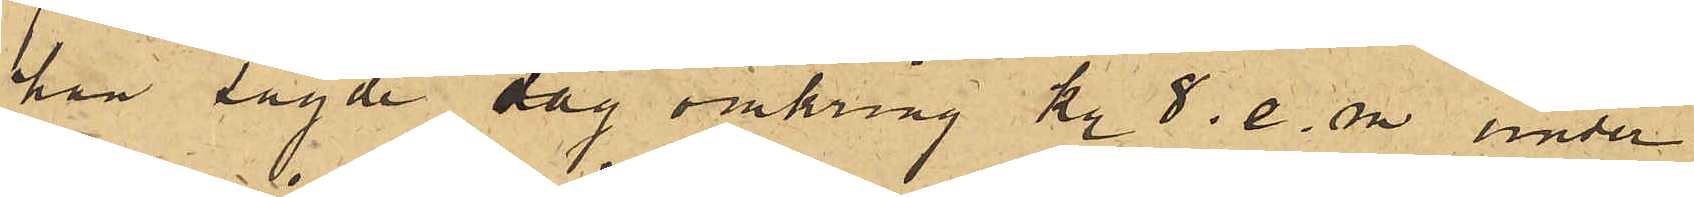han sagde dag omkring kl 8 e.m. under
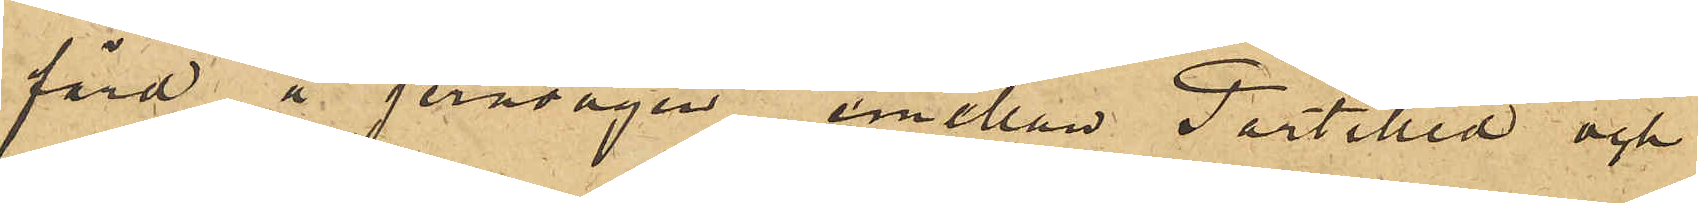färd å jernvägen emellan Partilled och
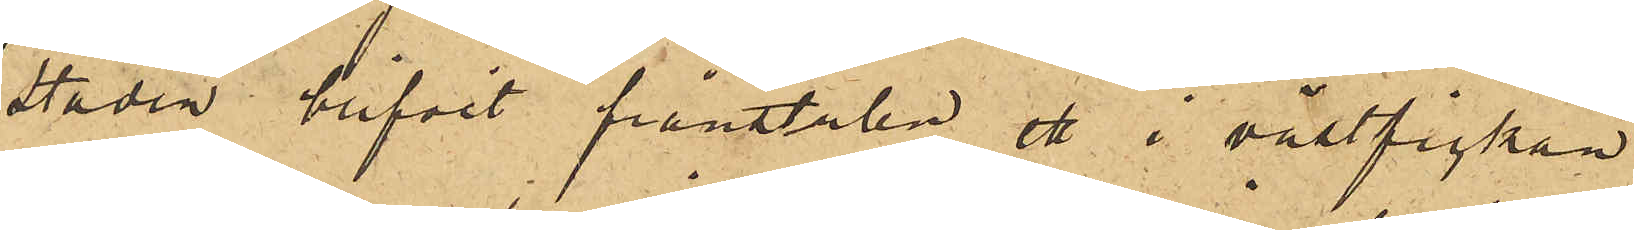staden blifvit frånstulen ett i västfickan
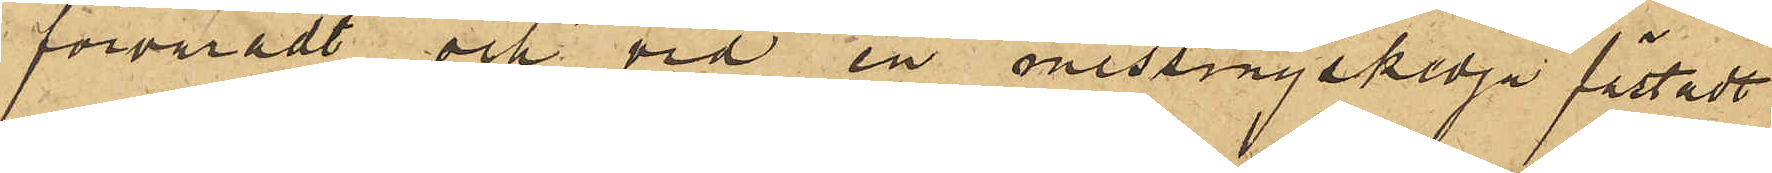förvaradt och vid en messingskedja fästadt
